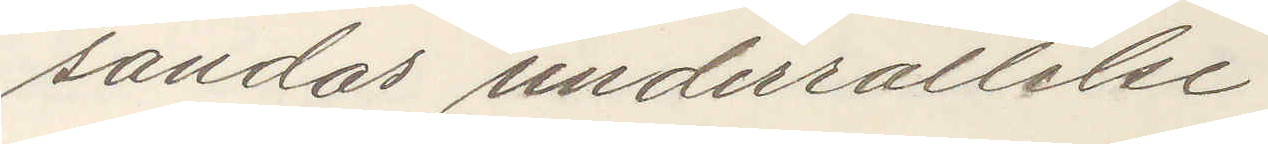sändas underrättelse.
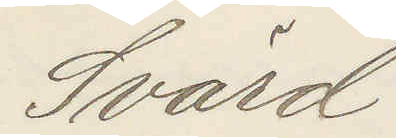Svärd
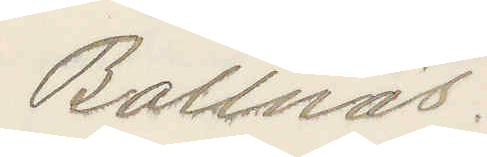Bollnäs.
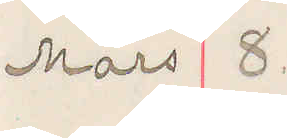Mars 8.
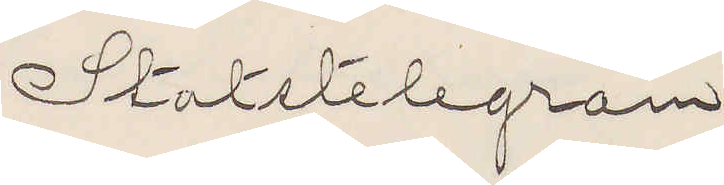Statstelegram
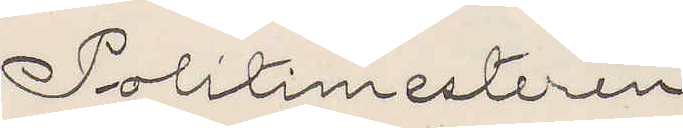Politimesteren
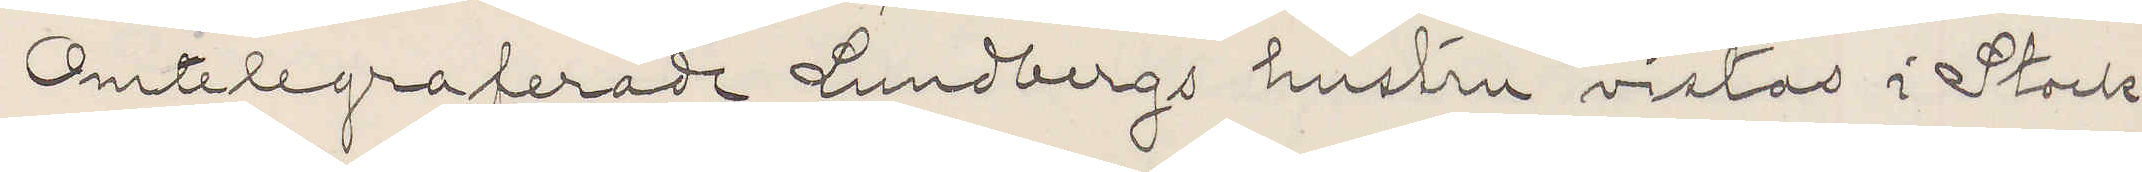Omtelegraferade Lundbergs hustru vistas i Stock¬
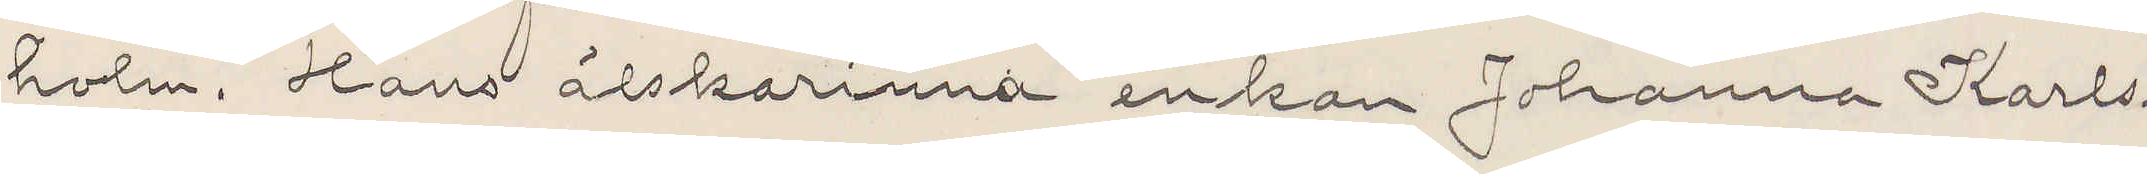holm. Hans älskarinna enkan Johanna Karls¬
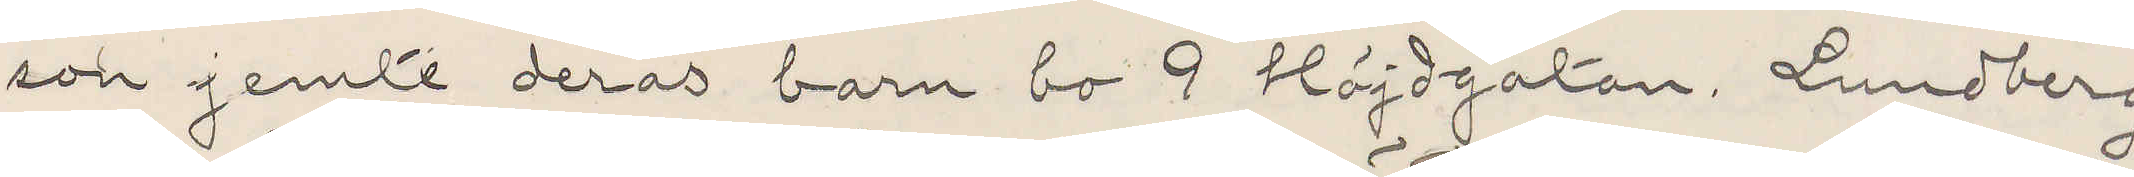son jemte deras barn bo 9 Höjdgatan. Lundberg
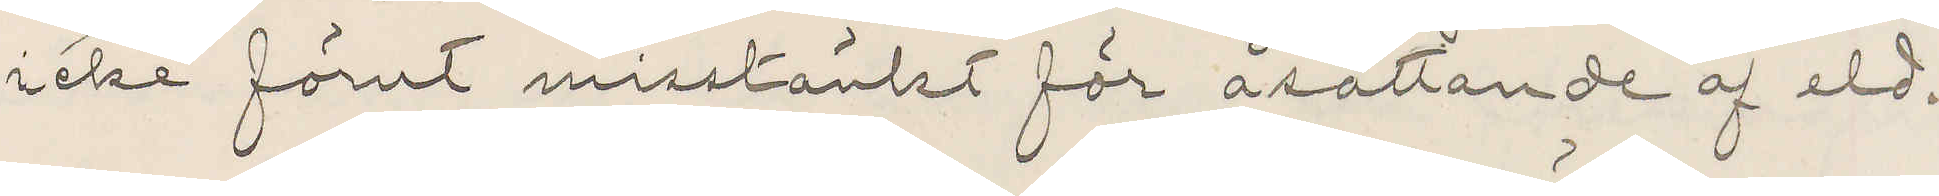icke förut misstänkt för åsättande af eld.
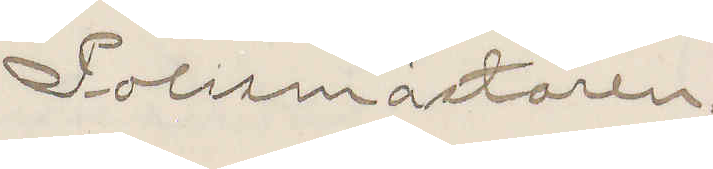Polismästaren.
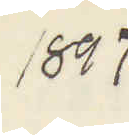1897
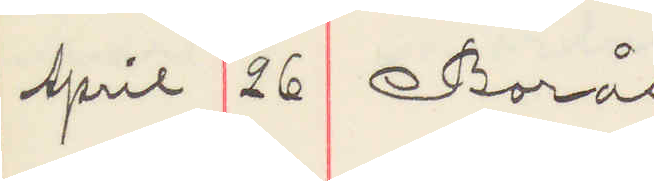April 26 Borås
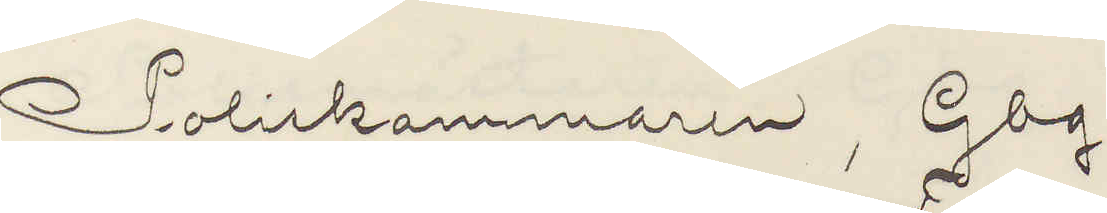Poliskammaren Gbg
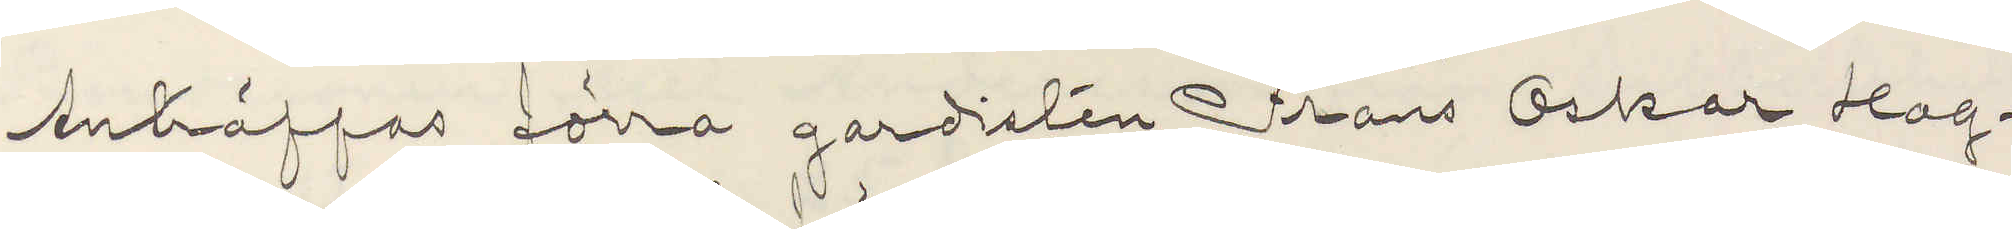Anträffas förre gardisten Frans Oskar Hag¬
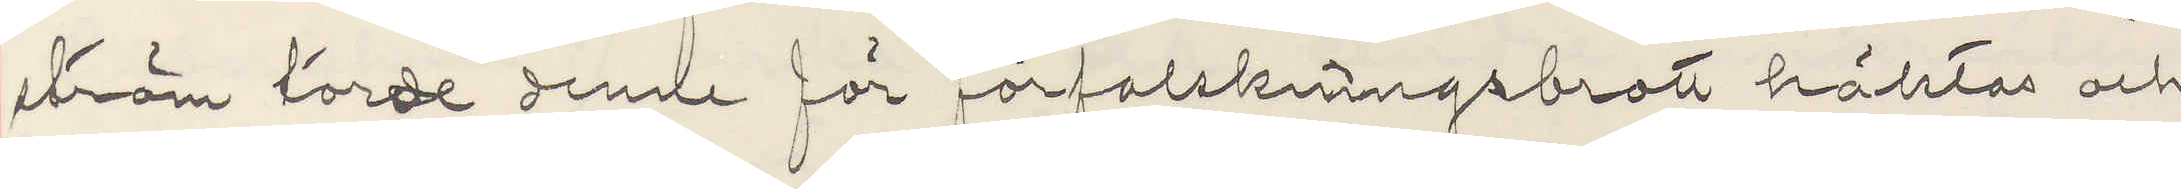ström torde denne för förfalskningsbrott häktas och
